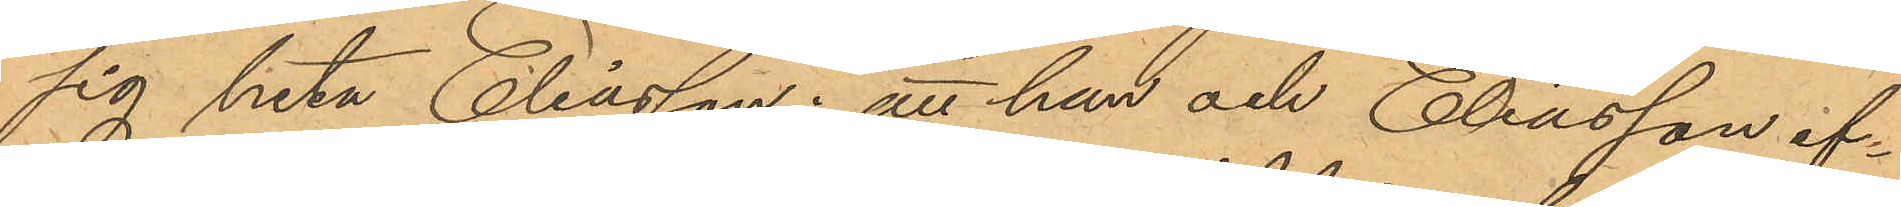sig heta Eliasson; att han och Eliasson ef¬
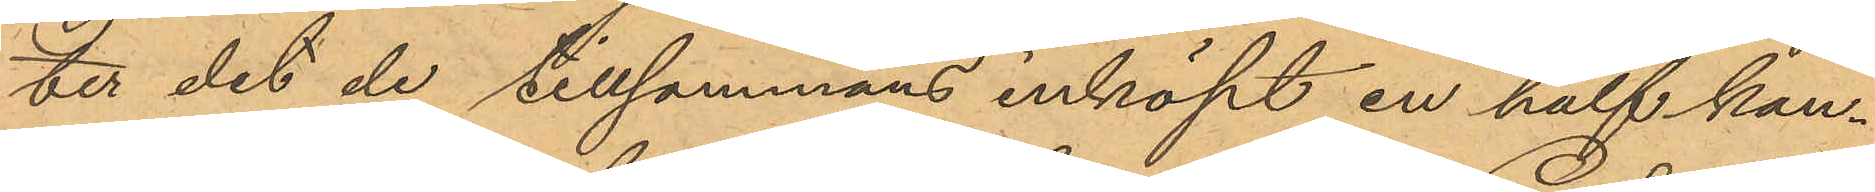ter det de tillsammans inköpt en half kan¬
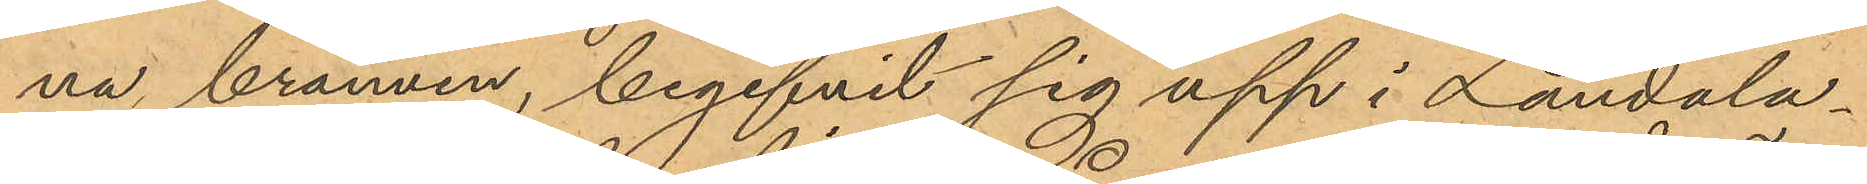na brännvin, begifvit sig upp i Landala¬
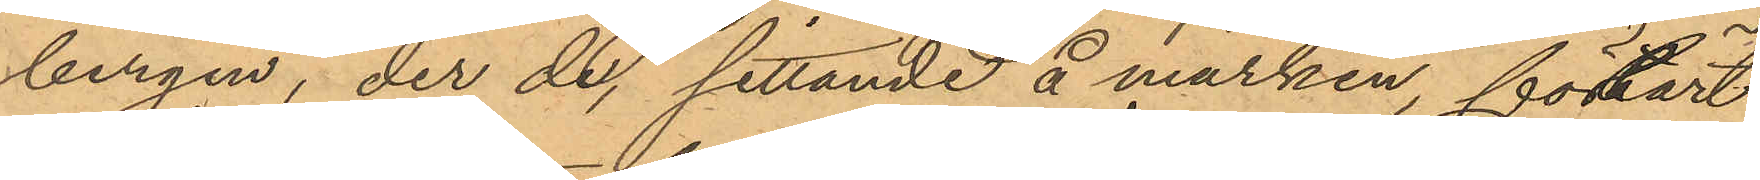bergen, der de, sittande å marken, förtärt
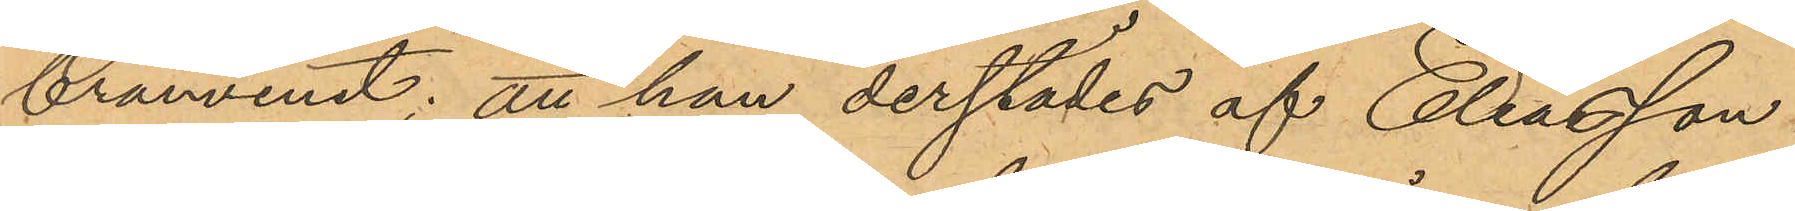brännvinet; att han derstädes af Eliassson
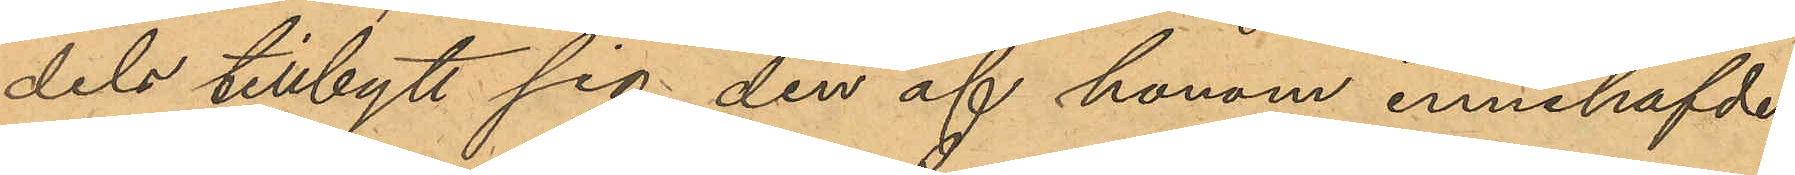dels tillbytt sig den af honom innehafvde
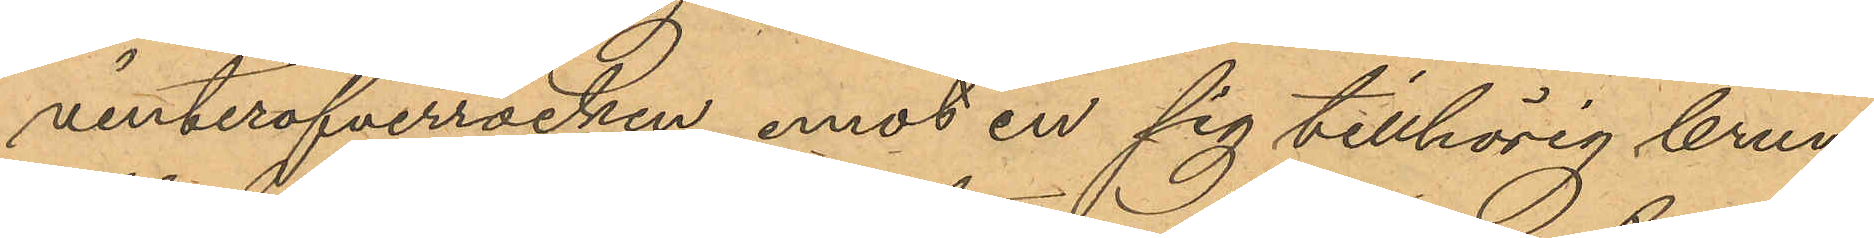vinteröfverrocken, emot en sig tillhörig brun
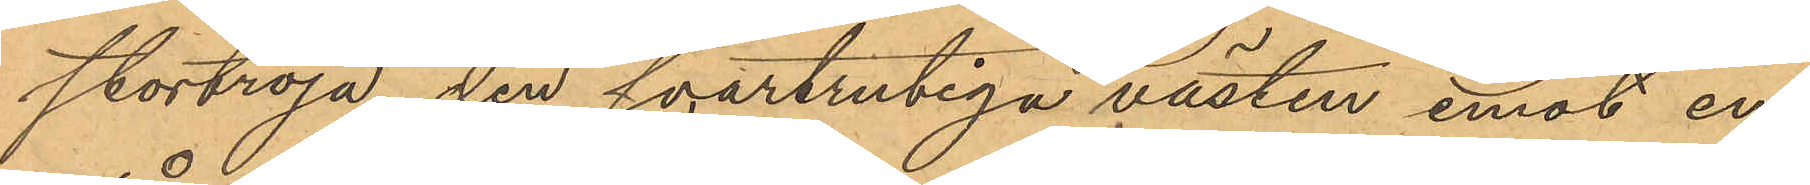stortröja, den svartrutiga västen emot en
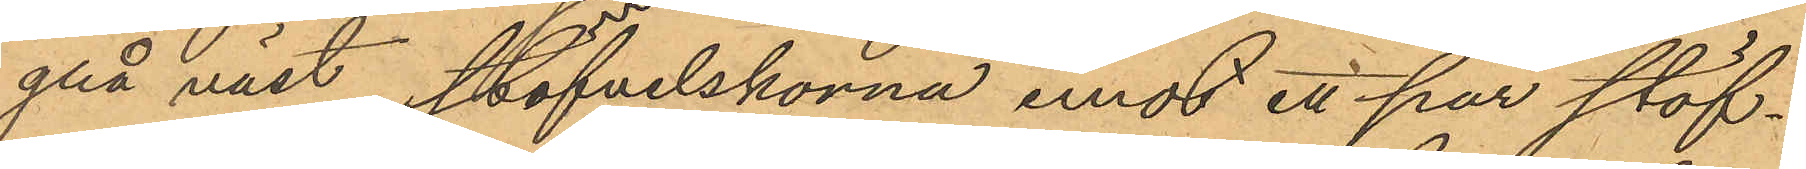grå väst, stöfvelskorna emot ett par stöf¬
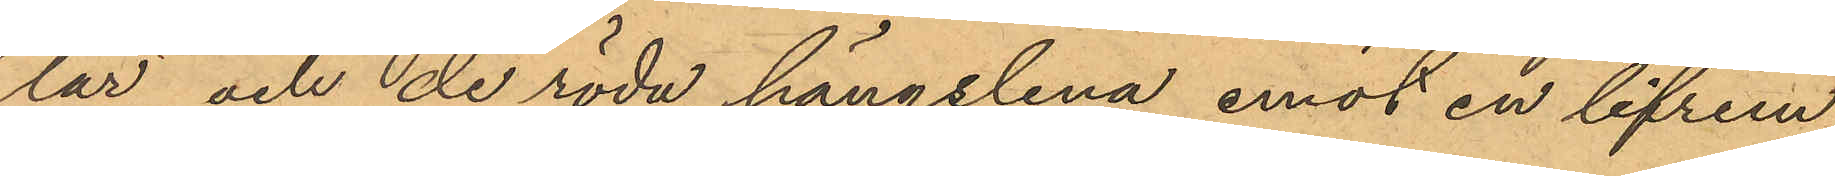lar och de röda hängslena emot en lifrem,
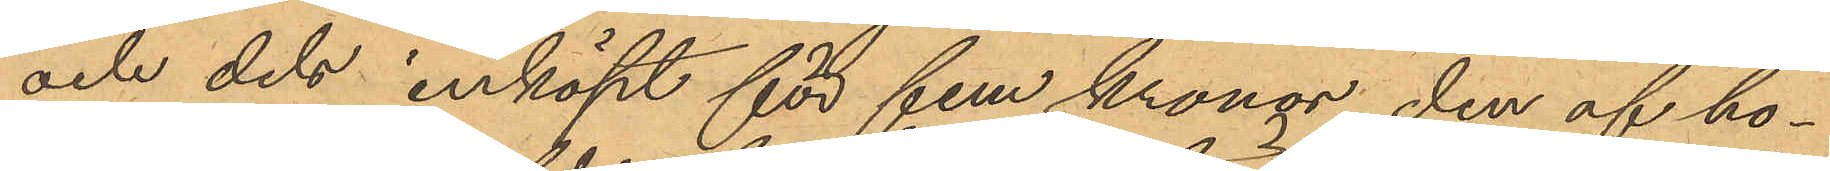och dels inköpt för fem kronor den af ho¬
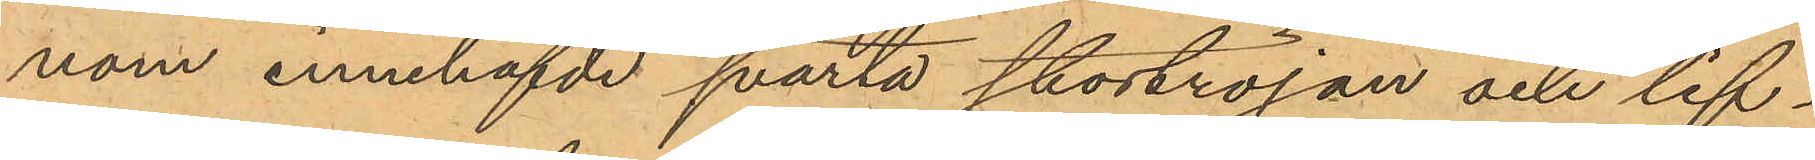nom innehafvde svarta stortröjan och lif¬
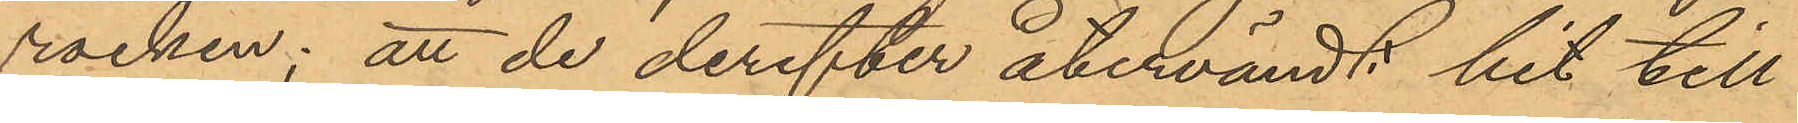rocken; att de derefter återvändt hit till
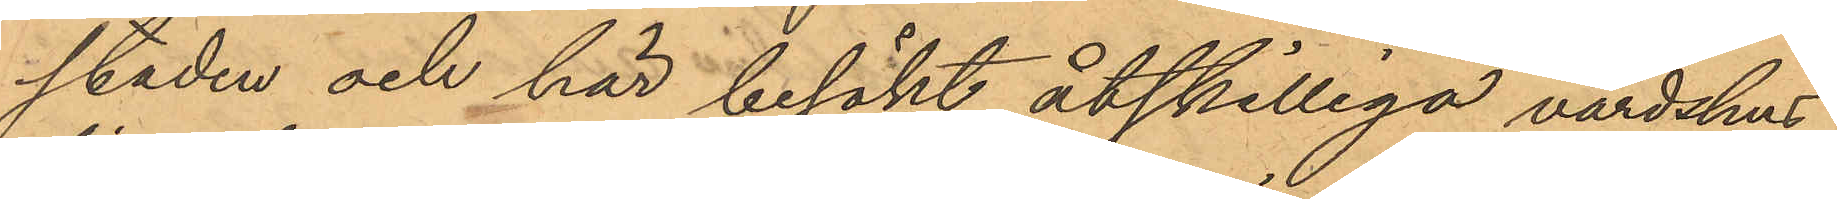staden och här besökt åtskilliga värdshus
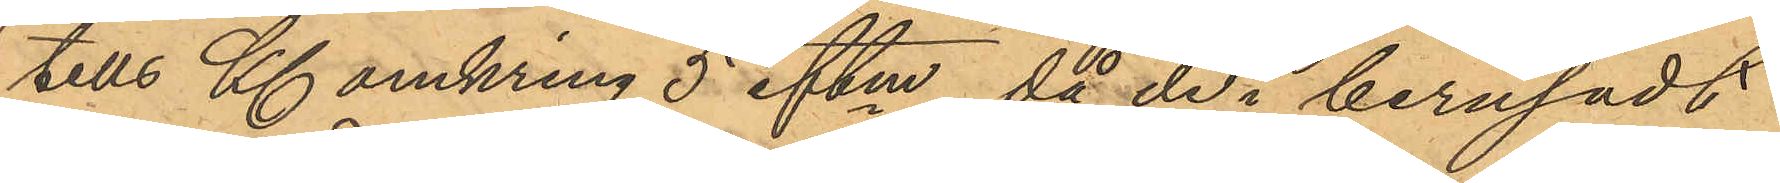tills Kl. omkring 5 eftm, då de i berusadt
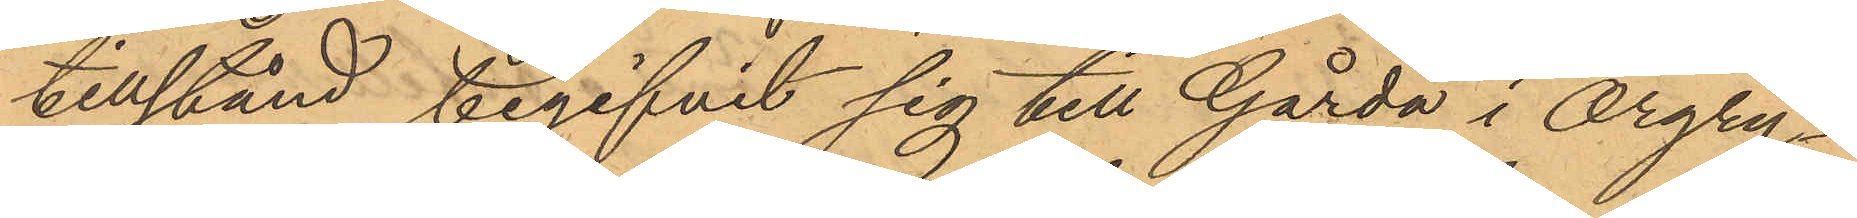tillstånd begifvit sig till Gårda i Örgry¬
